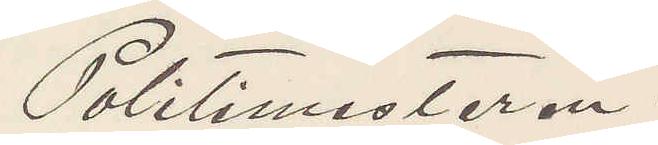Politimestaren.
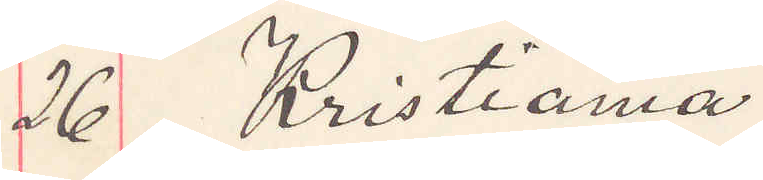26 Kristiania
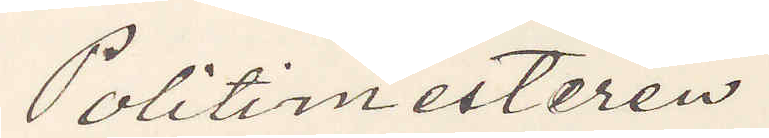Politimesteren
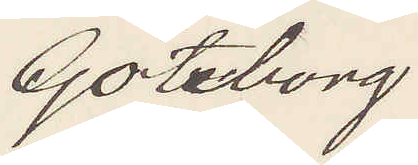Göteborg.
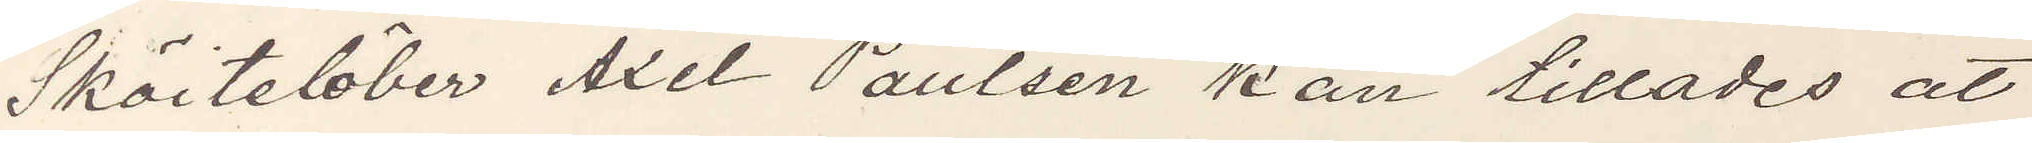Sköitelöber Axel Paulsen kan tillades at
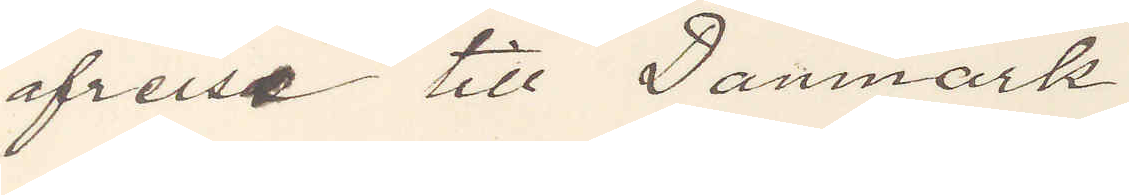afreise till Danmark.
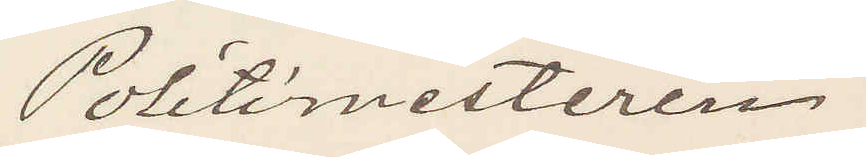Politimesteren
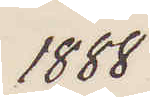1888
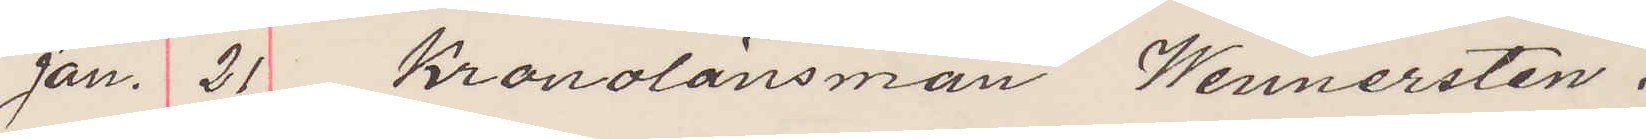Jan. 21 Kronolänsman Wennersten.
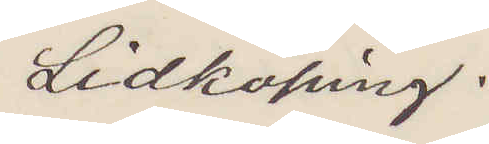Lidköping.
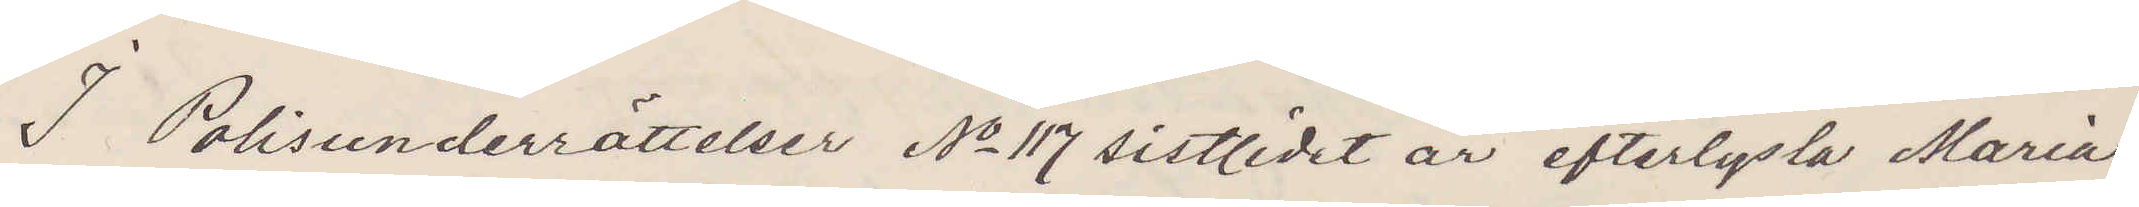I Polisunderrättelser No 117 sistlidet år efterlysta Maria
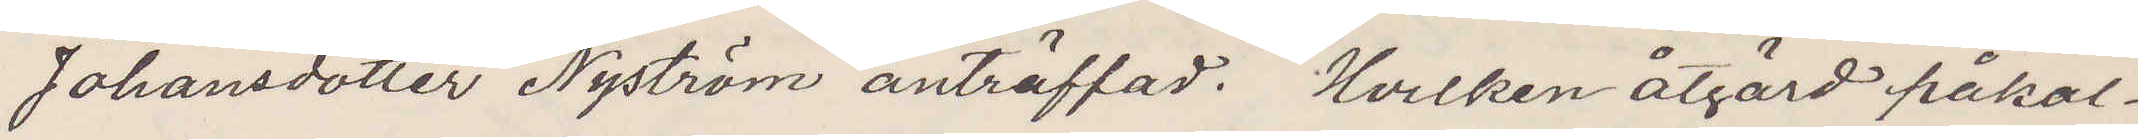Johansdotter Nyström anträffad. Hvilken åtgärd påkal¬
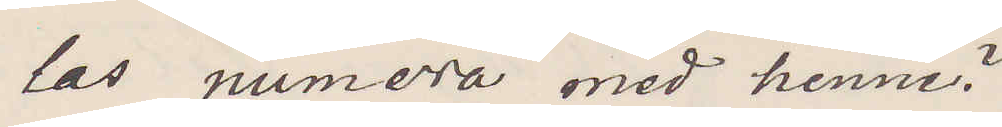las numera med henne?
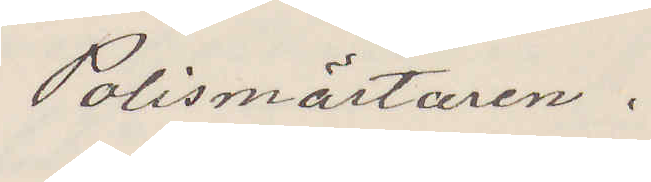Polismästaren.
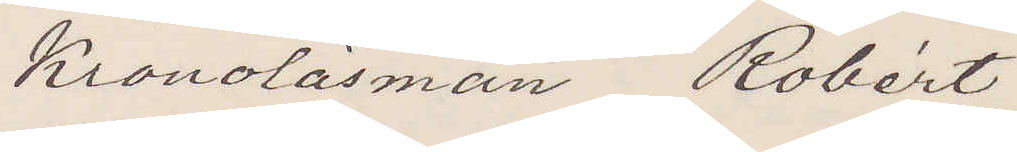Kronolänsman Robért
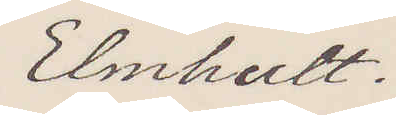Elmhult.
